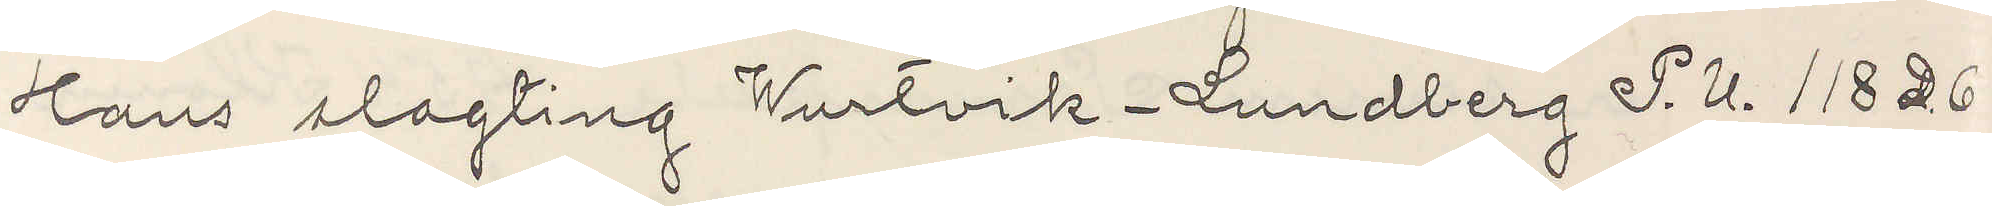Hans slagting Wurtvik-Lundberg P. U. 118 D 6
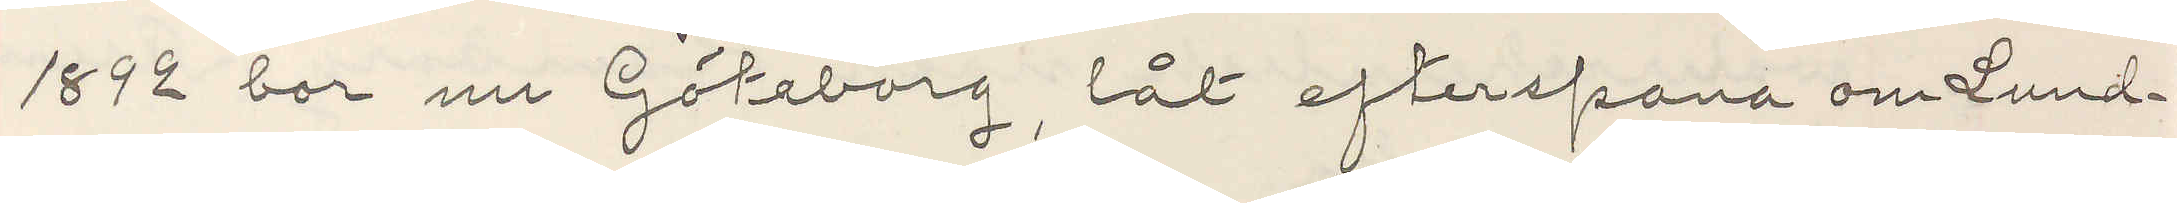1892 bor nu Göteborg, låt efterspana om Lund¬
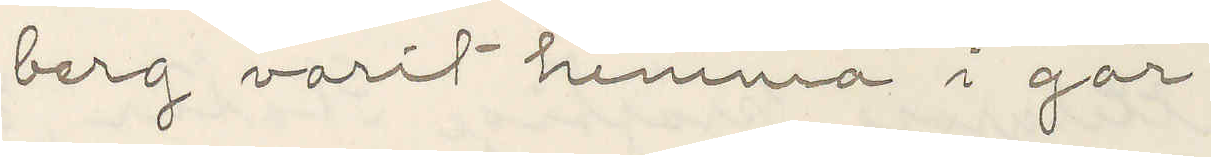berg varit hemma i går
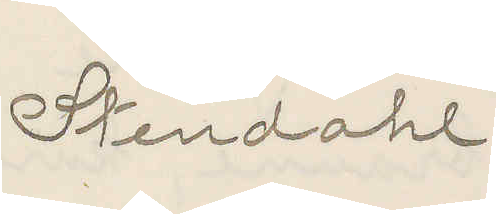Stendahl
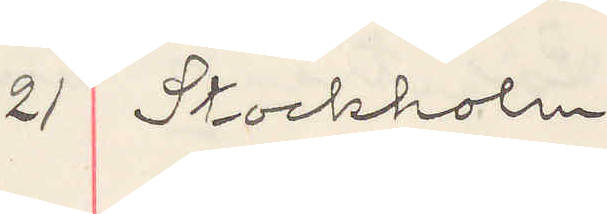21 Stockholm
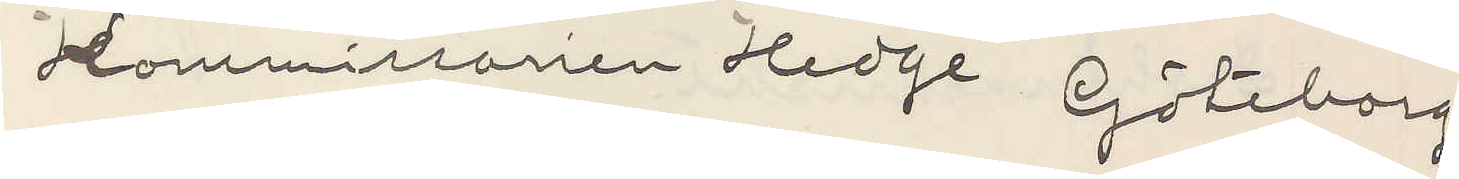Kommissarien Hedge Göteborg
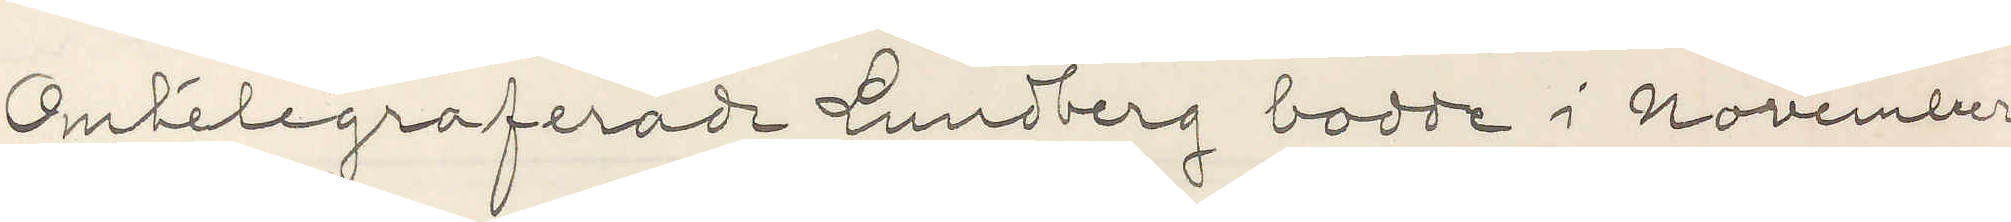Omtelegraferade Lundberg bodde i november
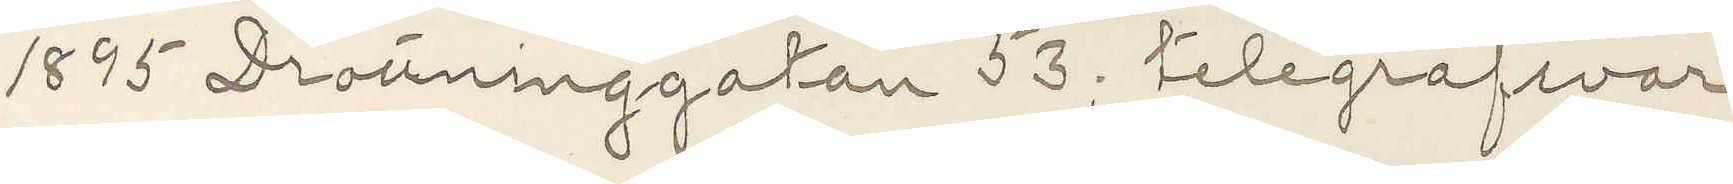1895 Drottninggatan 53; telegrafsvar
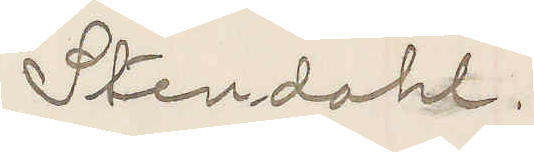Stendahl.
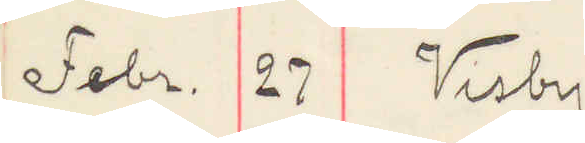Febr. 27 Visby
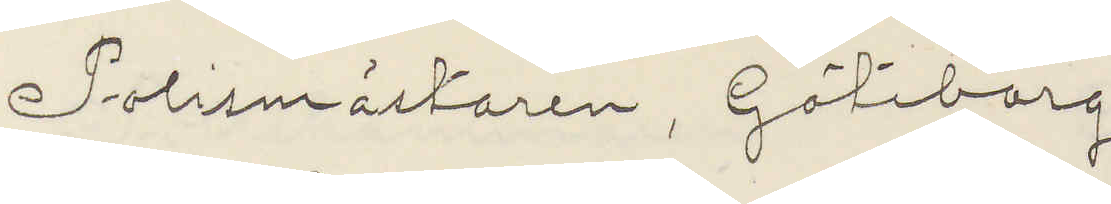Polismästaren, Göteborg
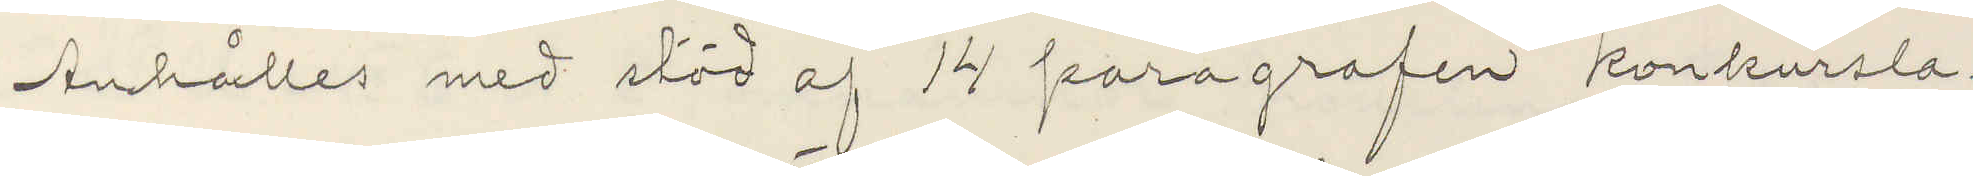Anhåller om stöd af 14 paragrafen konkursla¬
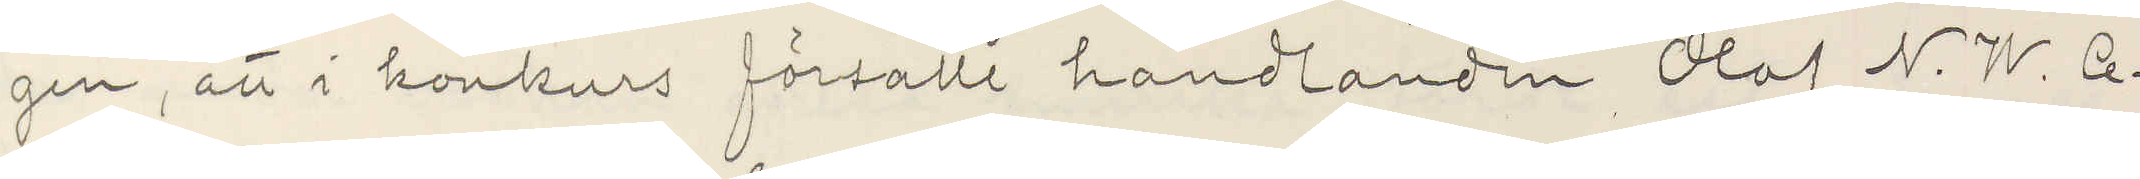gen, att i konkurs försatte handlanden Olof N. W. Ce¬
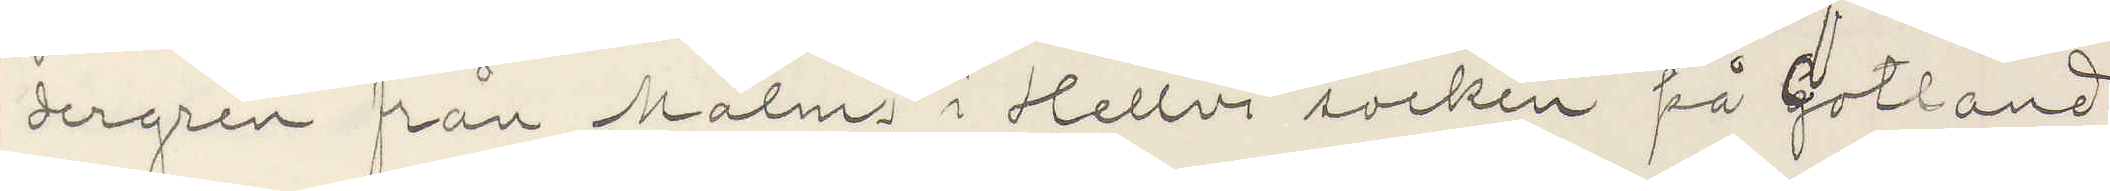dergren från Malms i Mellvi socken på Gotland,
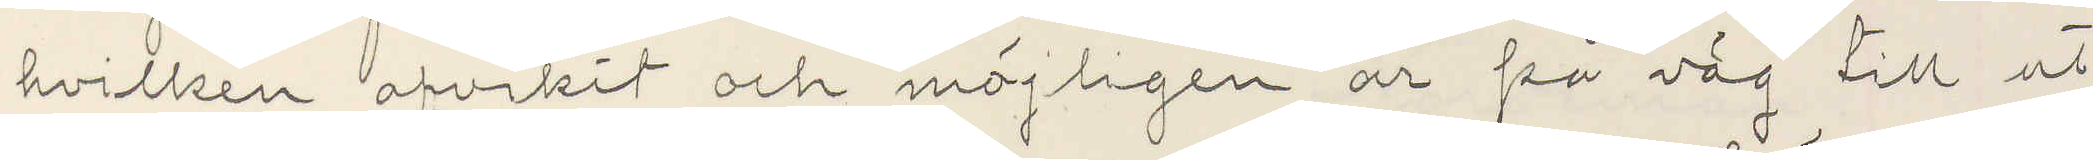hvilken afvikit och möjligen är på väg till ut¬
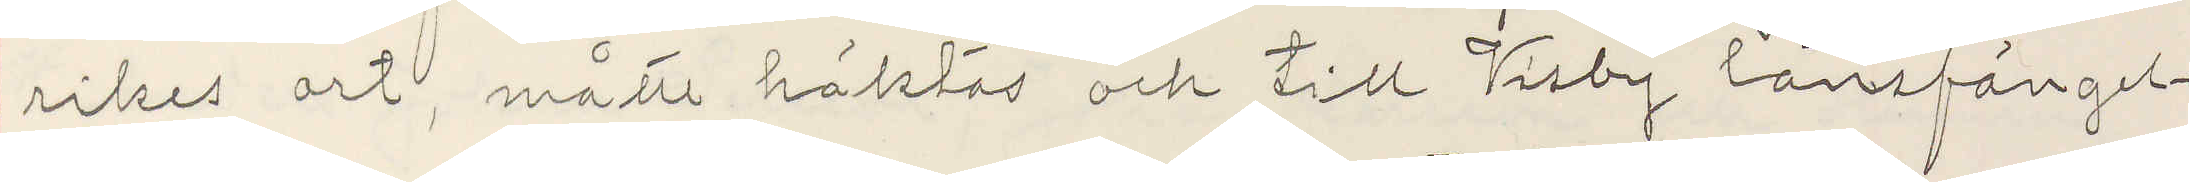rikes ort, måste häktas och till Visby länsfängel¬
